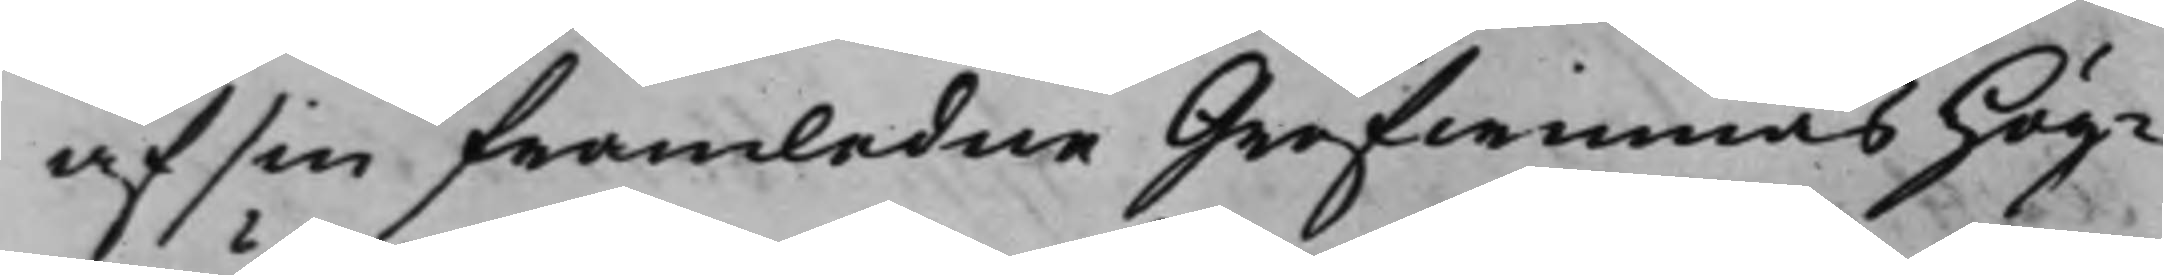af sin framledne Grefwinnas Hög¬
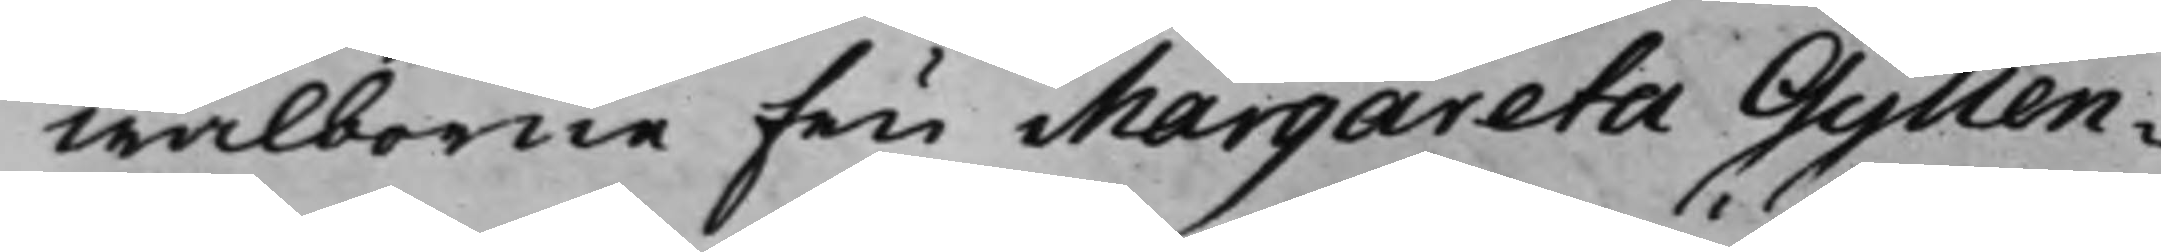wälborne Fru Margareta Gyllen¬
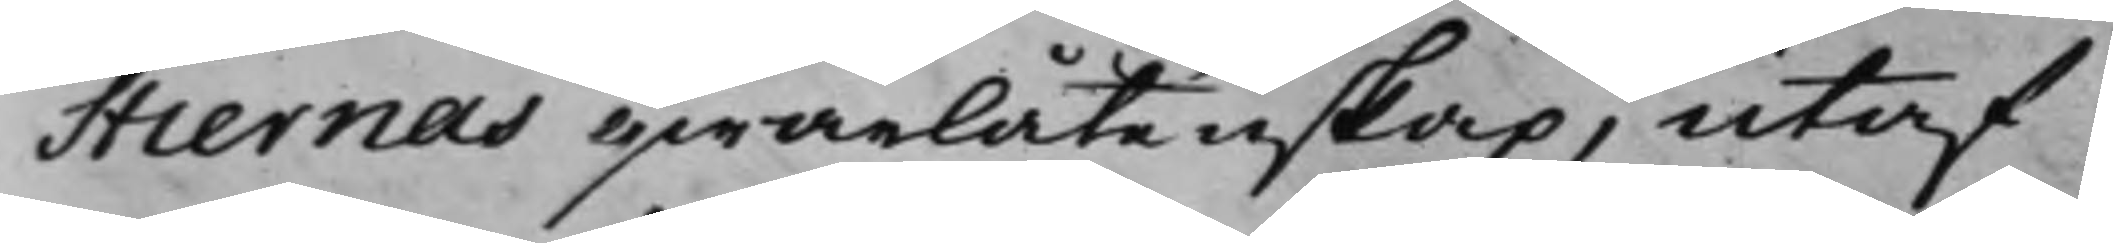stiernas qwarlåtenskap, utaf
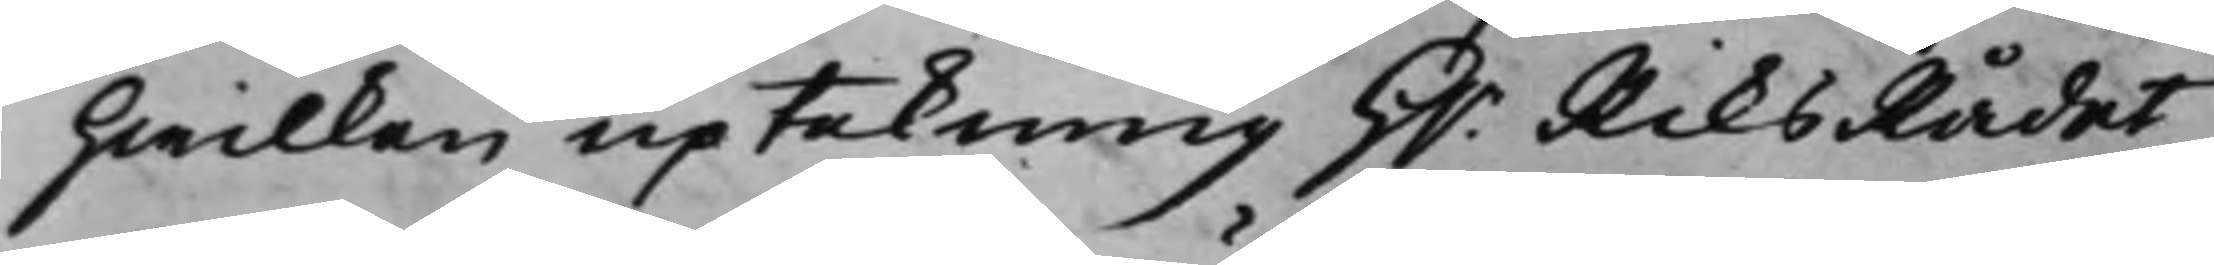hwilken uptekning H.r RiksRådet
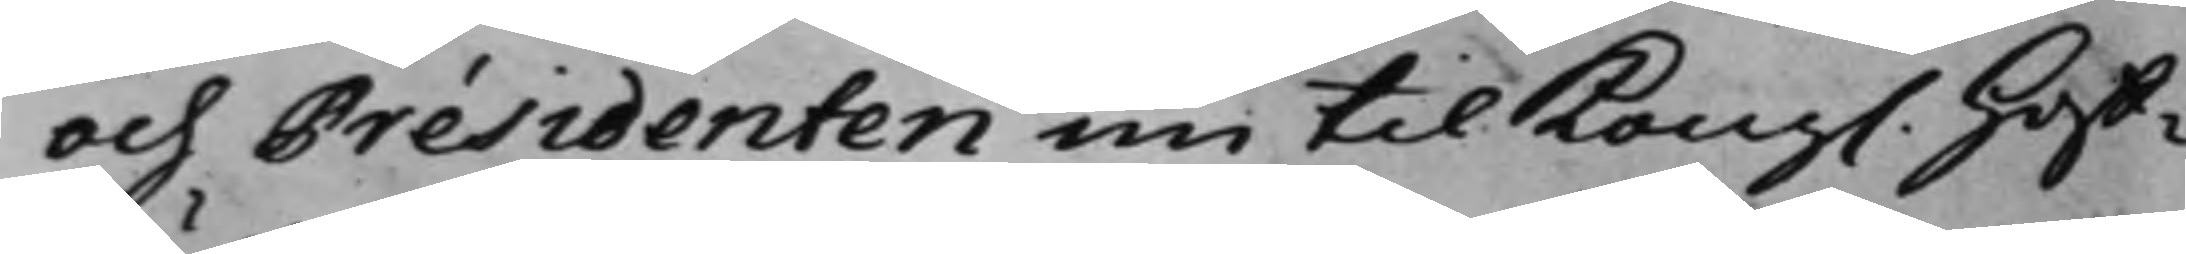och Présidenten nu til Kong. Hoff¬
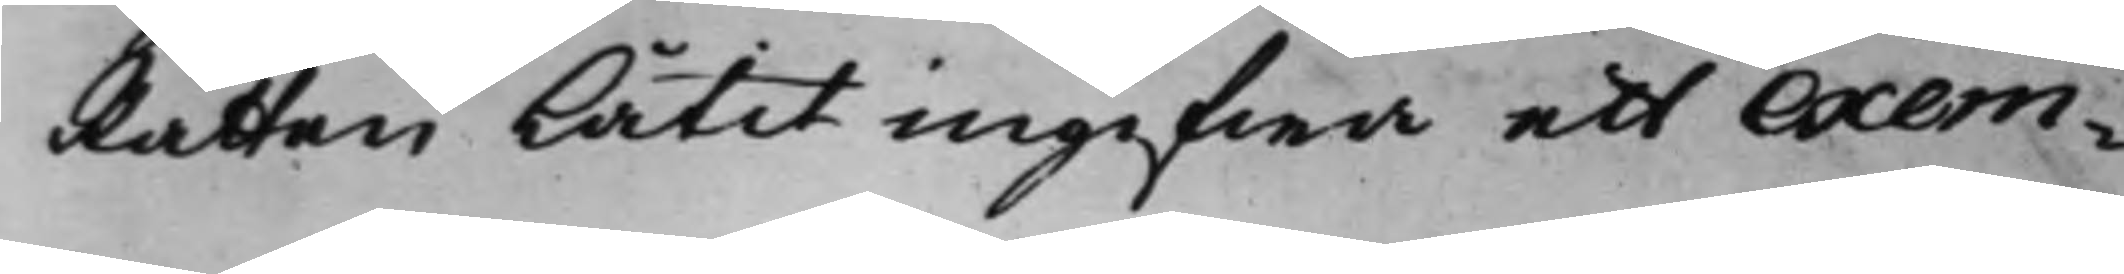Rätten låtit ingifwa ett exem¬
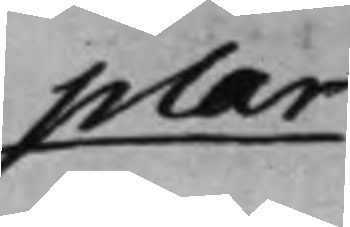plar
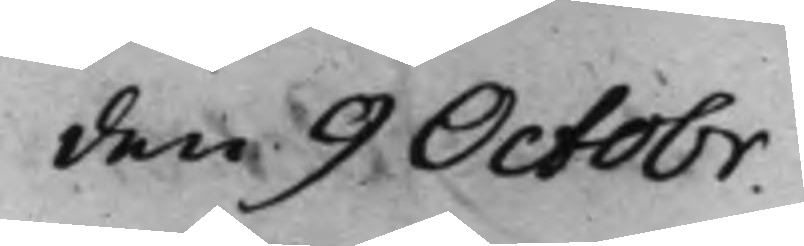den 9 Octobr.
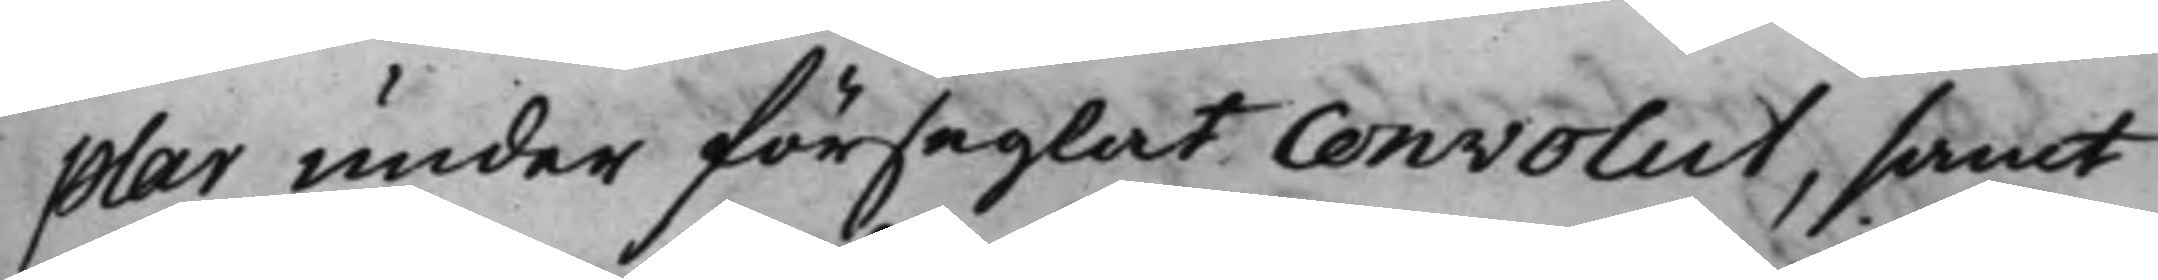plar under förseglat convolut, samt
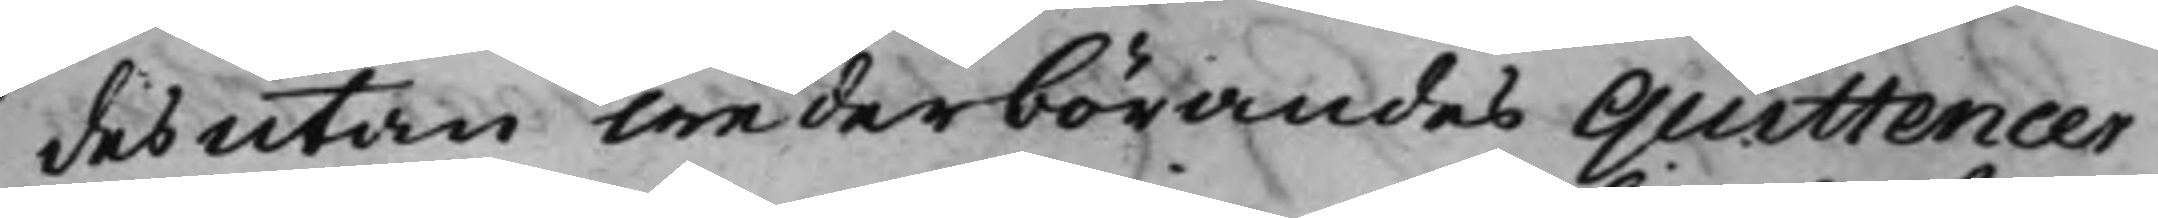desutan wederbörandes Quittencer
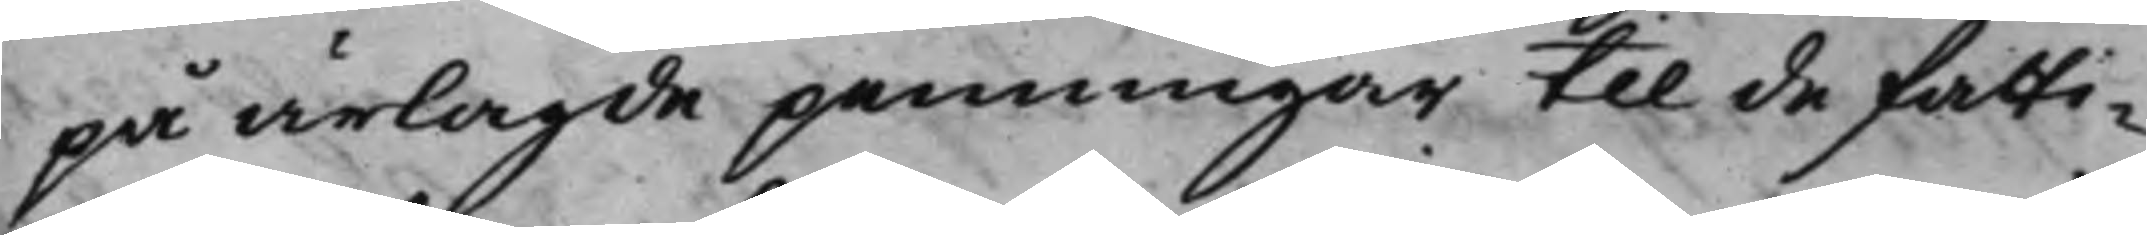på ärlagde penningar til de fatti¬
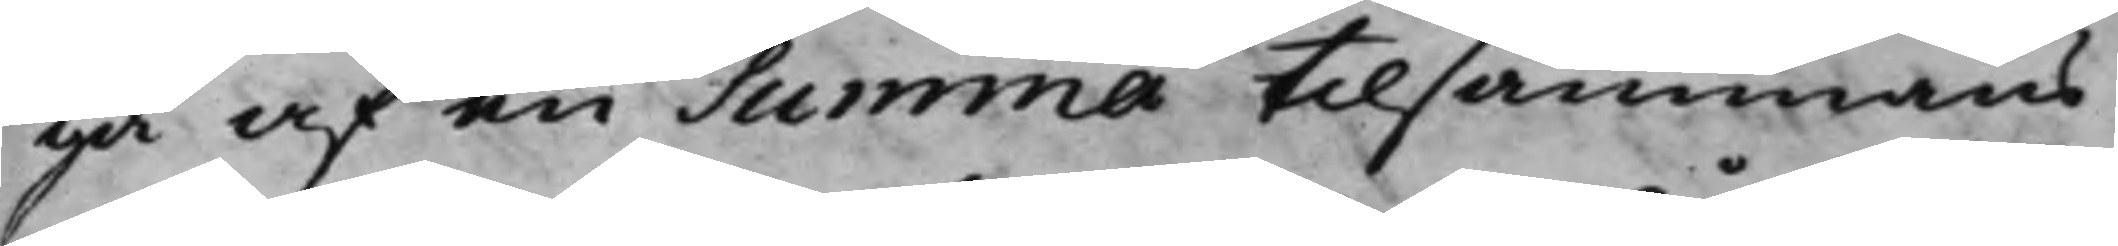ga af en Summa tillsammans
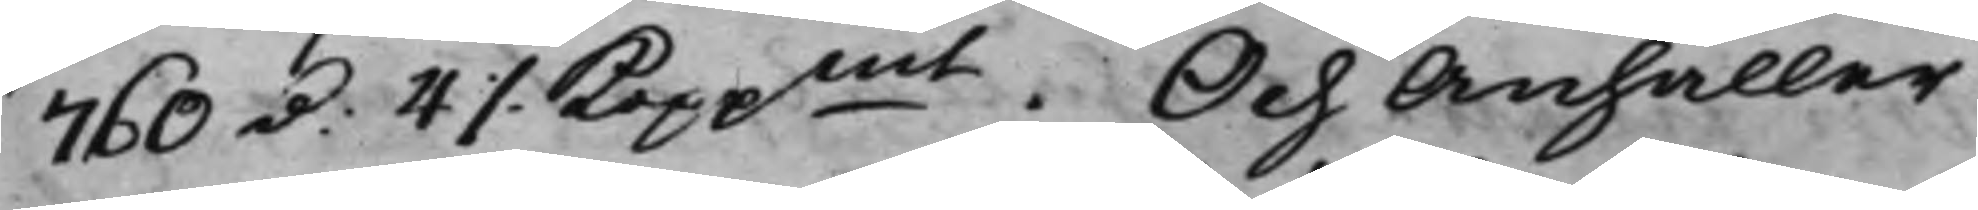760 d. 4 ./. Koppmt. Och Anhåller
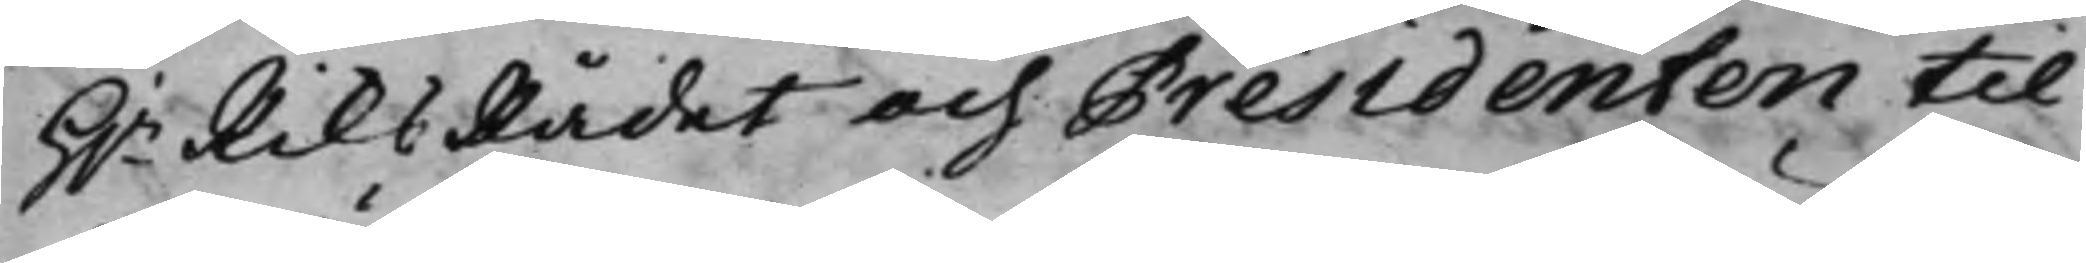H.r RiksRådet och Présidenten til
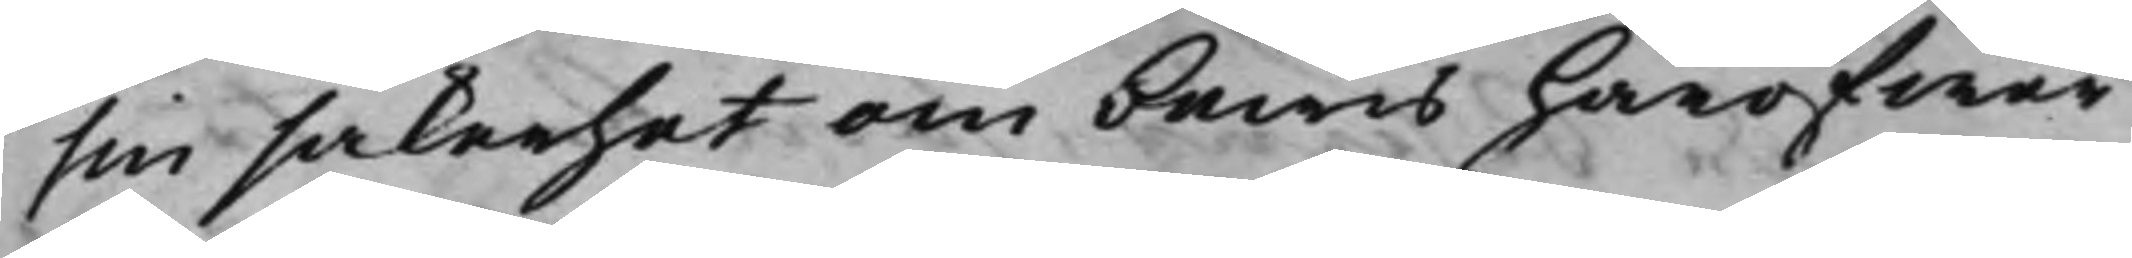sin säkerhet om bewis häröfwer
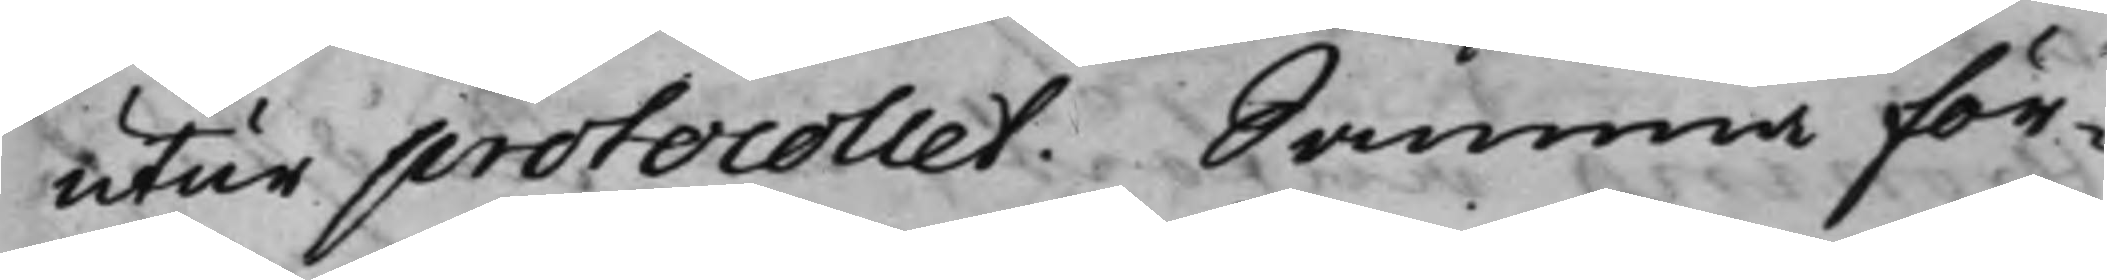utur protocollet. Samma för¬
